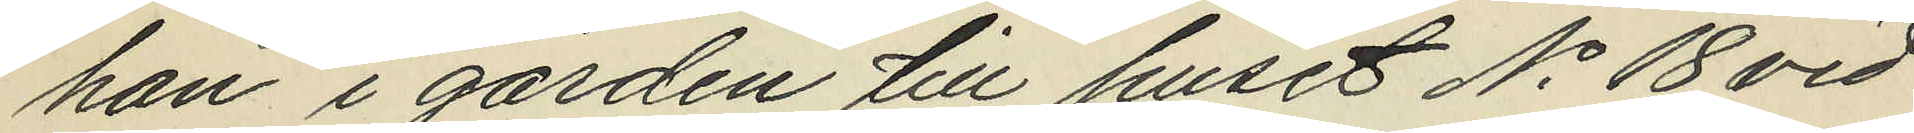han i gården till huset No 18 vid
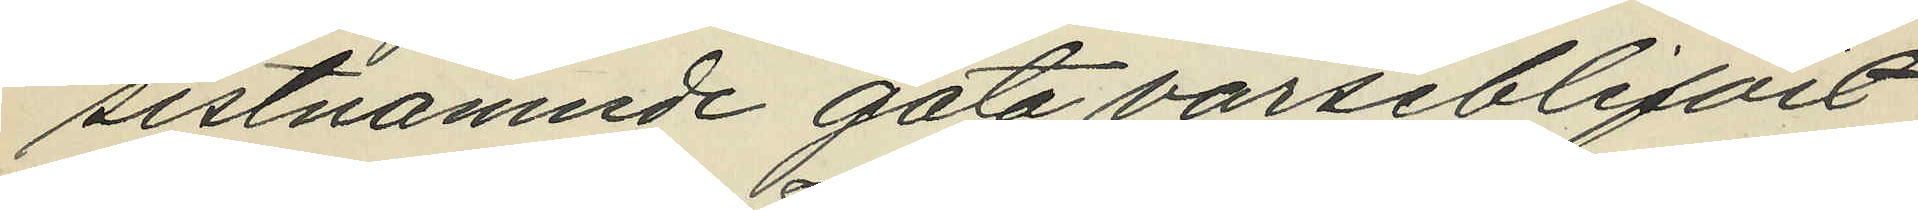sistnämnde gata varseblifvit
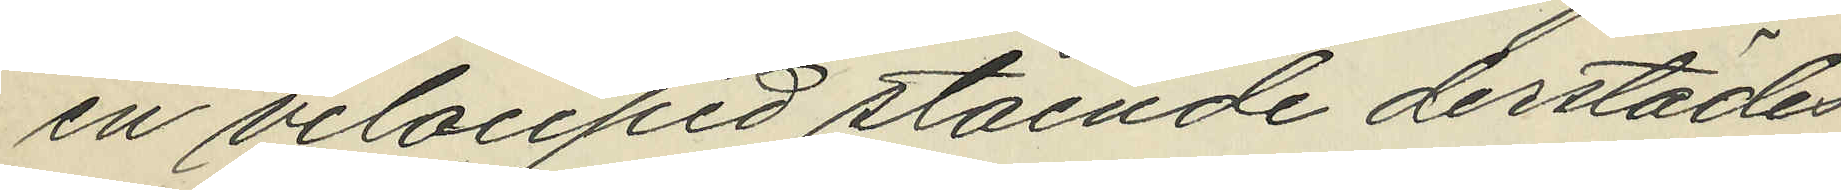en velociped stående derstädes,
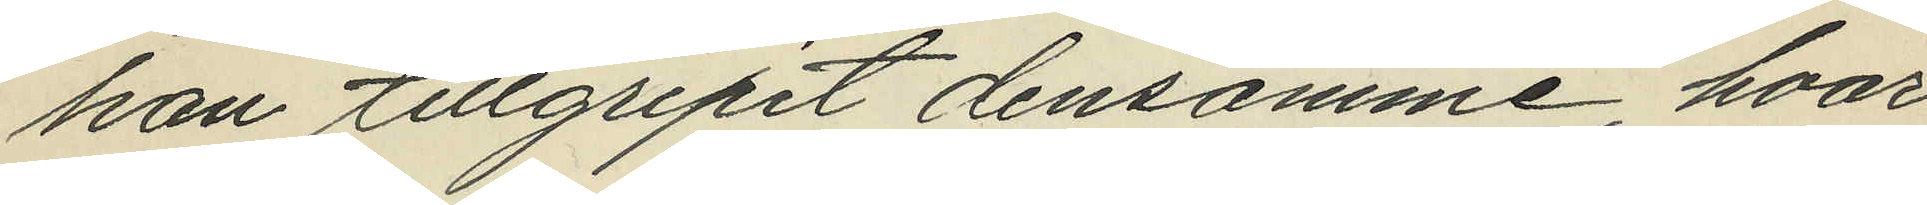han tillgripit densamme, hvar¬
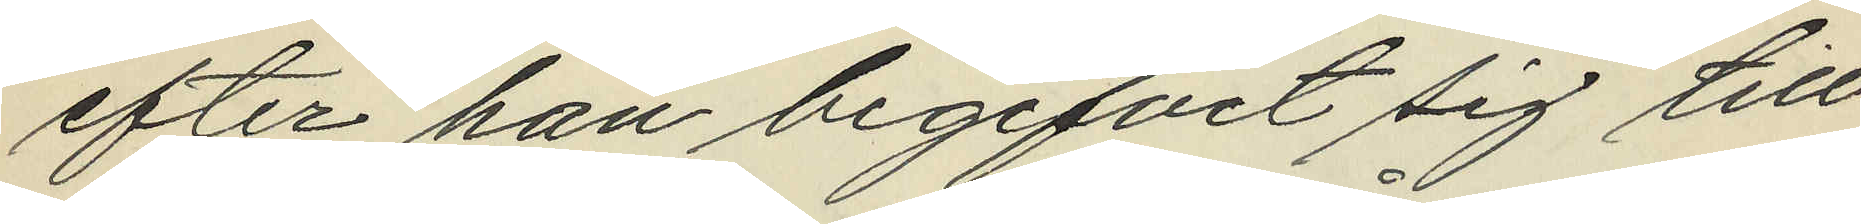efter han begifvit sig till
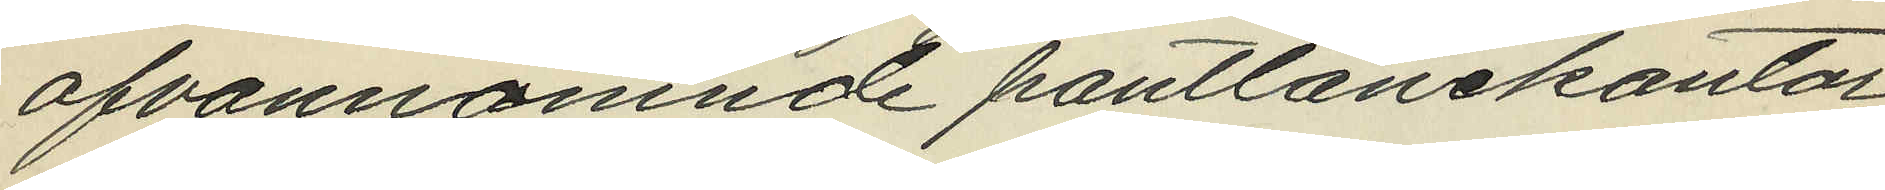ofvannämnde pantlånekontor
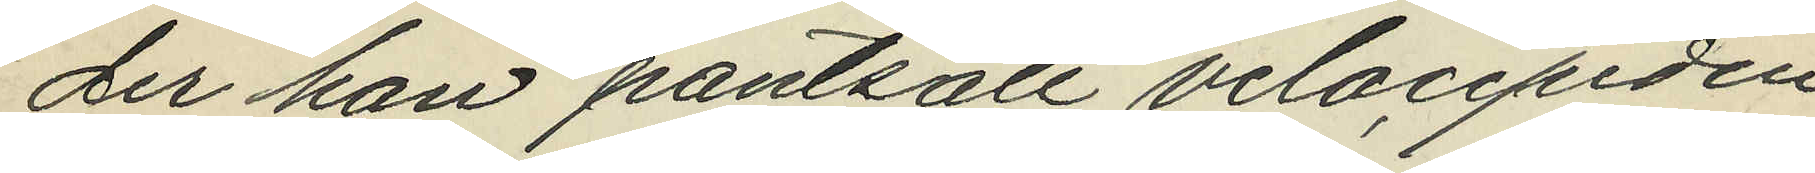der han pantsatt velocipeden
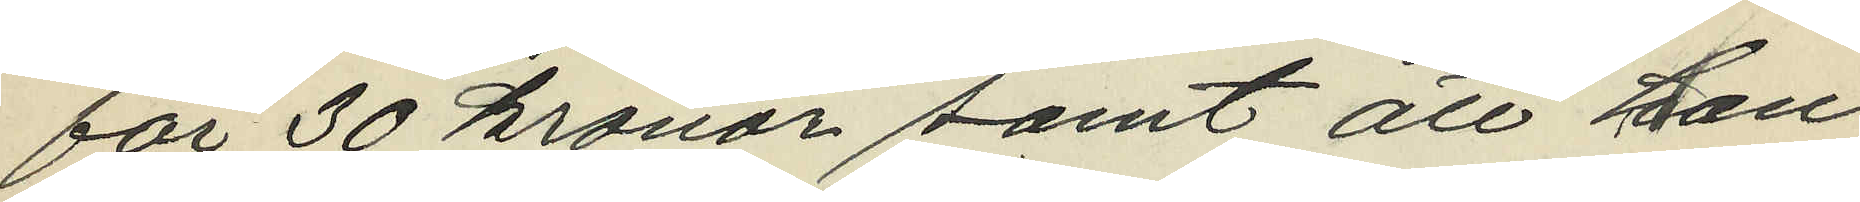för 30 kronor samt att han
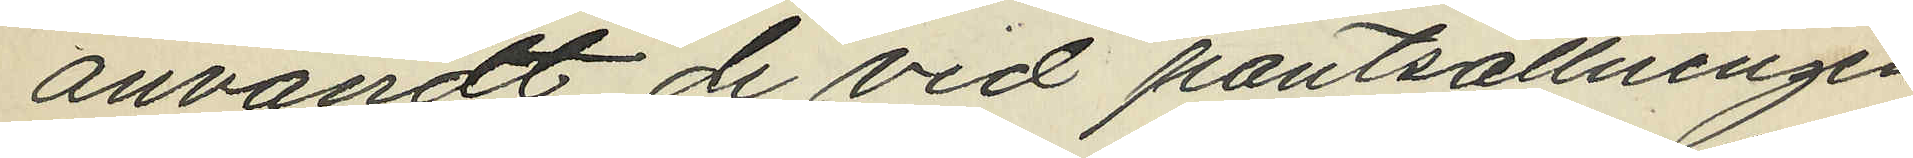användt de vid pantsättningen
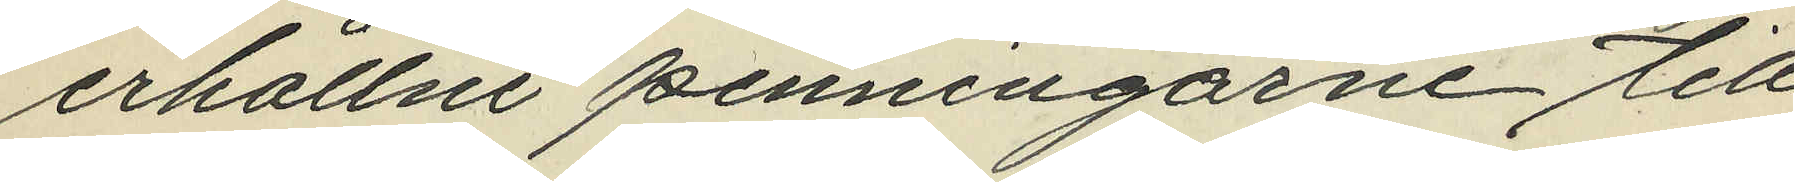erhållne penningarne till
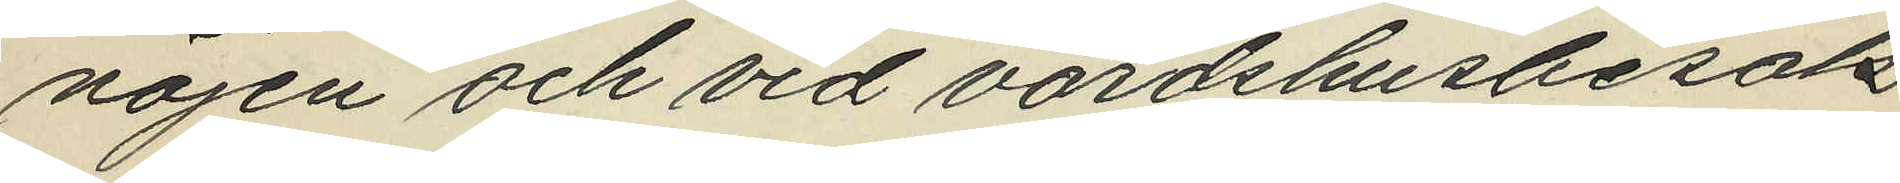nöjen och vid vardshusbesök.
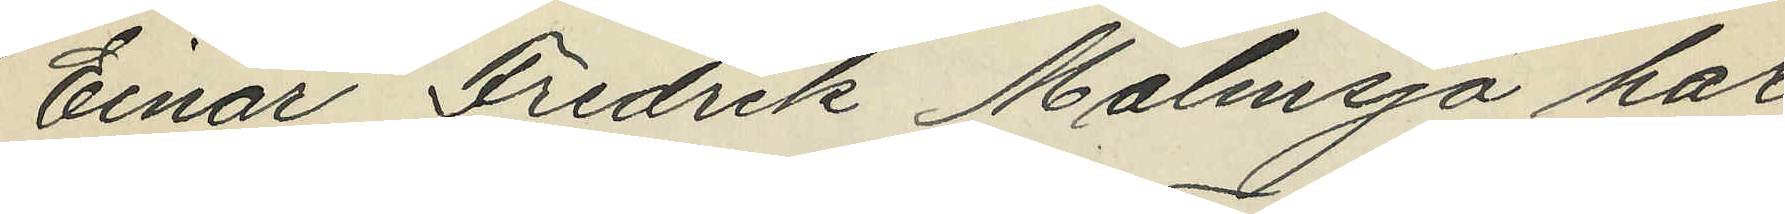Einar Fredrik Malmsjö har
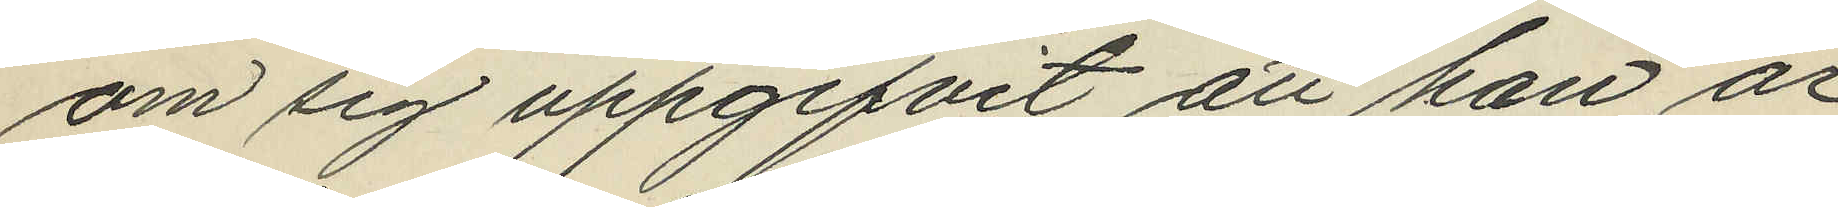om sig uppgifvit att han är
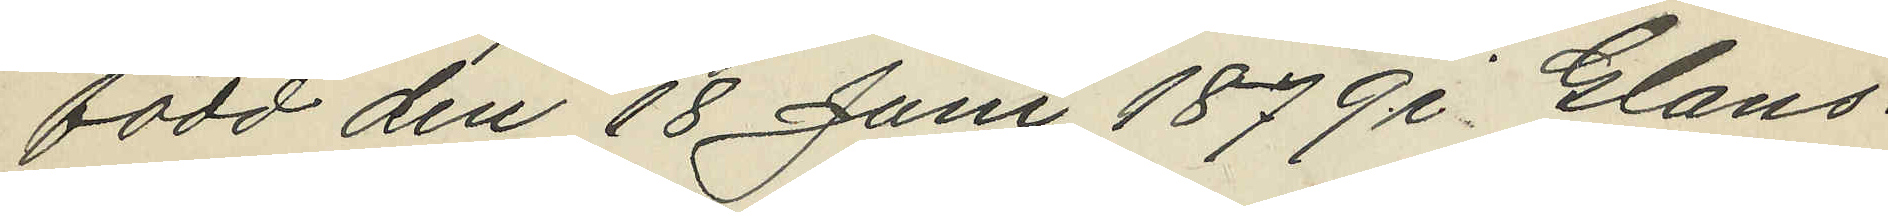född den 18 Juni 1879 i Glans¬
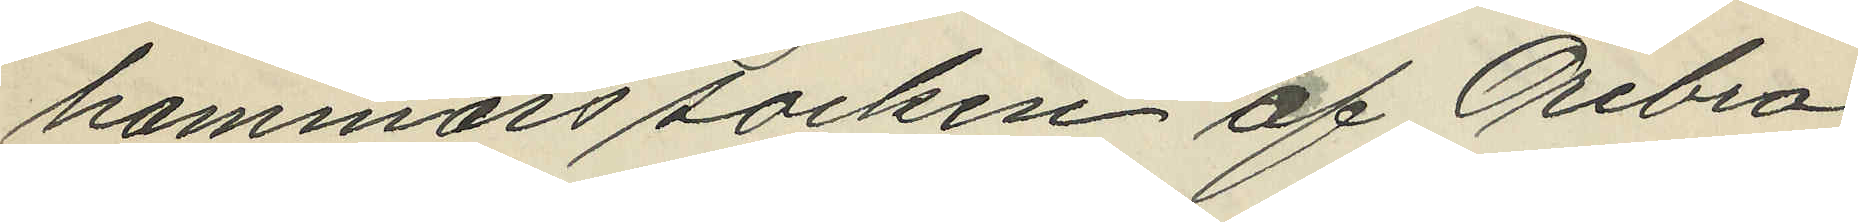hammars socken af Örebro
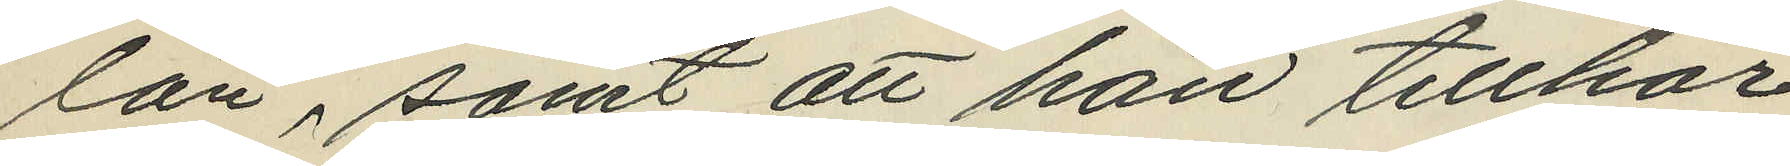län samt att han tillhör
